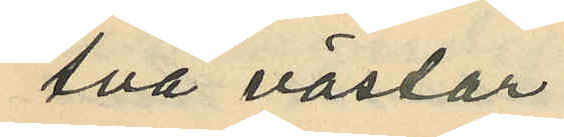två västar
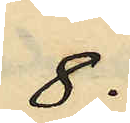8:
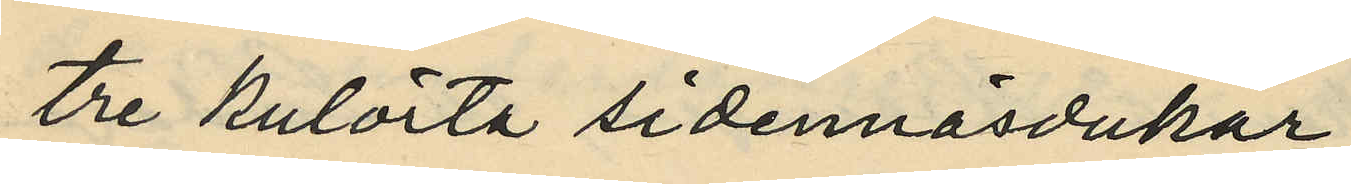tre kulörta sidennäsdukar,
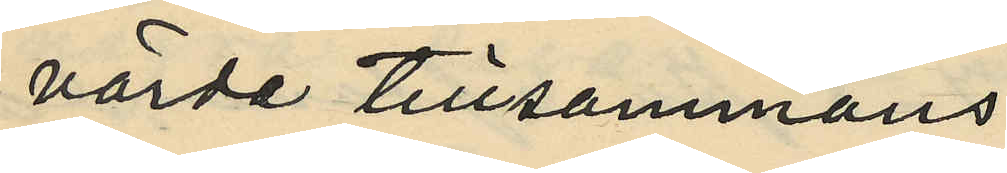värda tillsammans
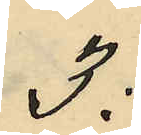3:
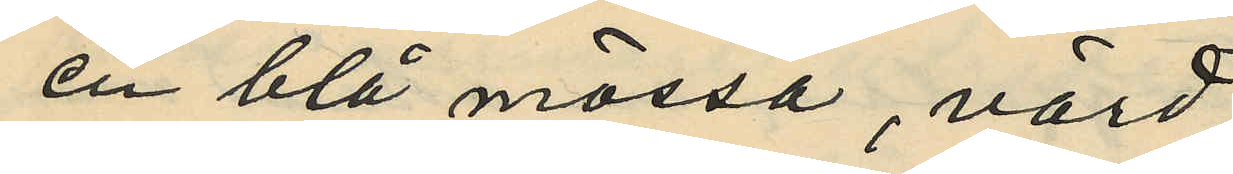en blå mössa, värd
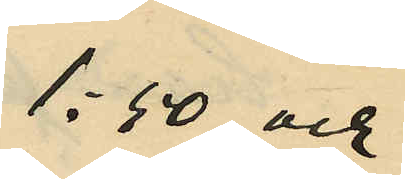1:50 och
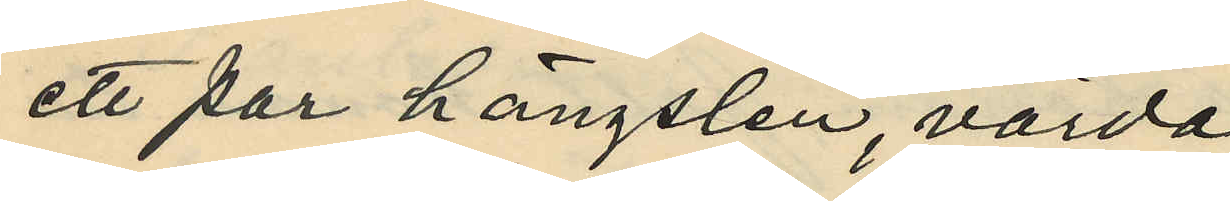ett par hängslen, värda
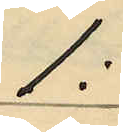1:
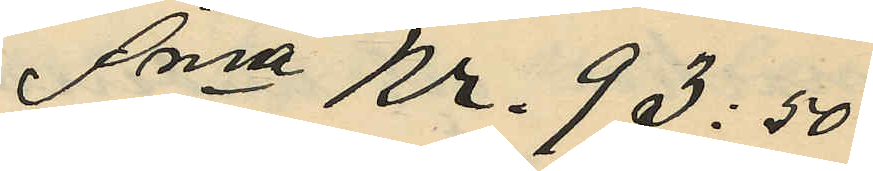Sma Kr. 93:50
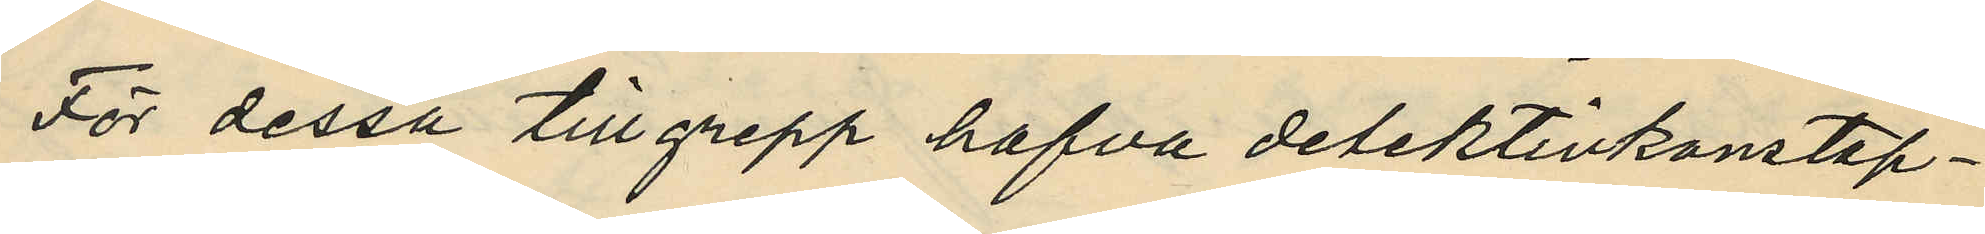För dessa tillgrepp hafva detektivkonstap¬
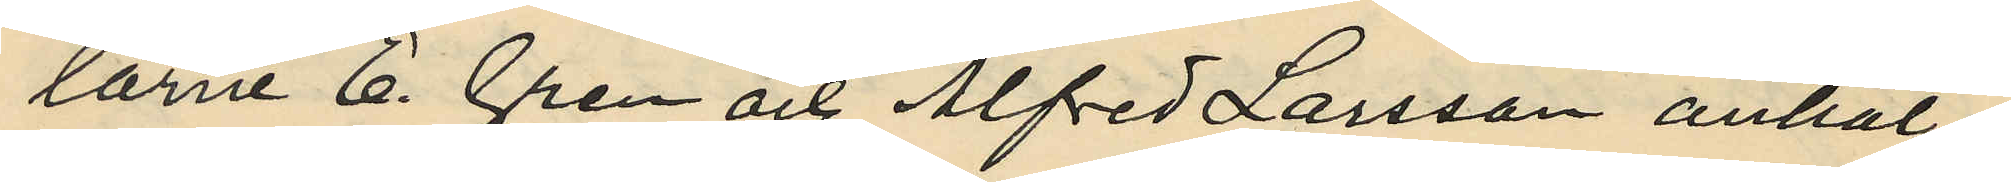larne E. Gren och Alfred Larsson anhål¬
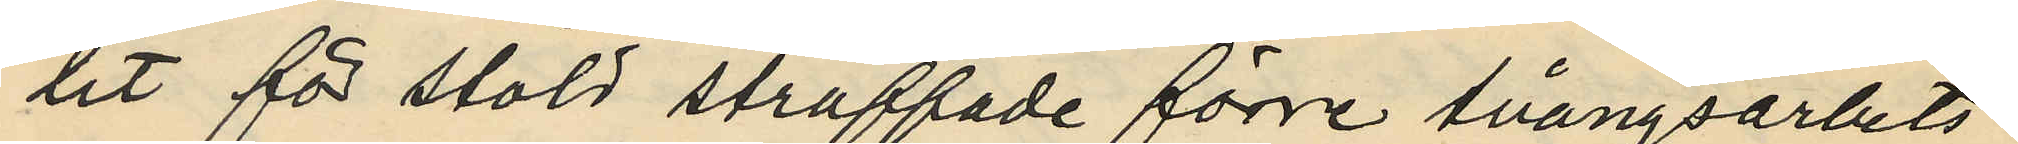lit för stöld straffade förre tvångsarbets¬
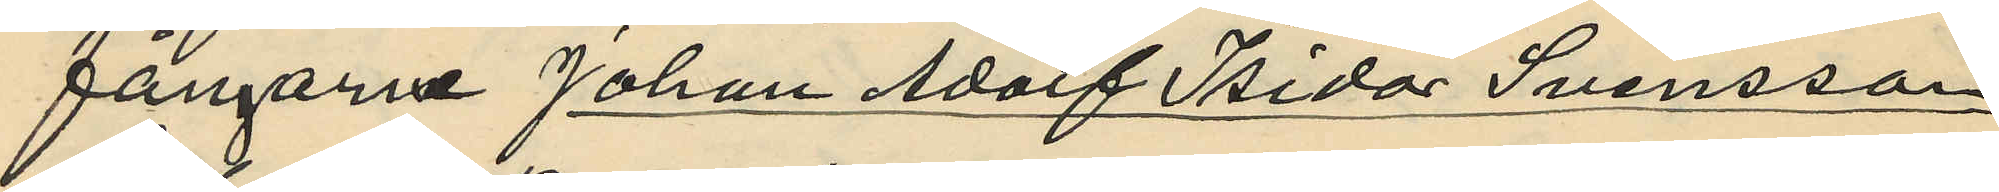fångarne Johan Adolf Isidor Svensson
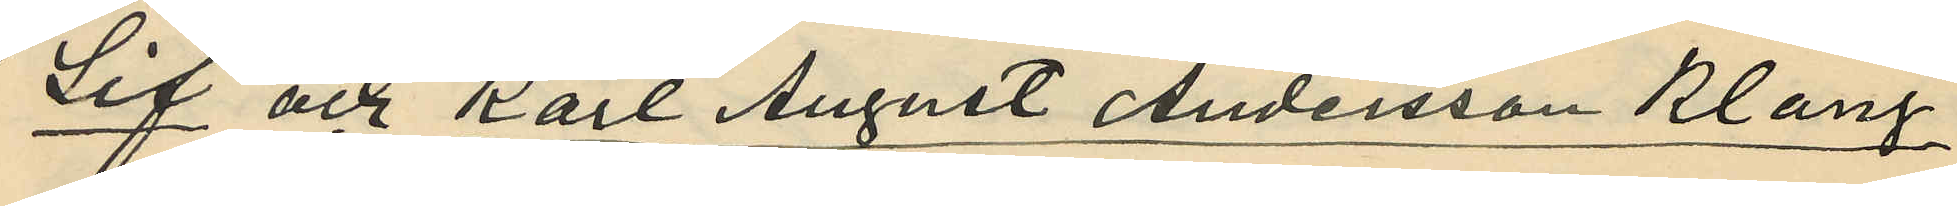Lif och Karl August Andersson Klang
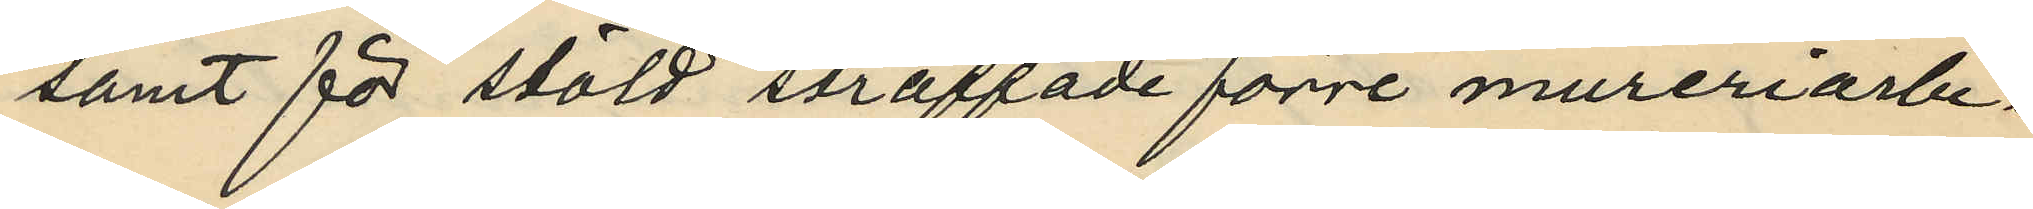samt för stöld straffade förre mureriarbe¬
